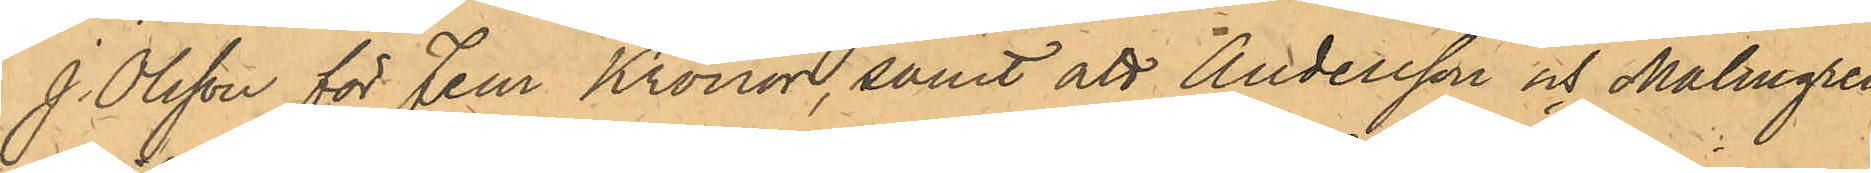J. Olsson för Fem Kronor, samt att Andersson och Malmgren
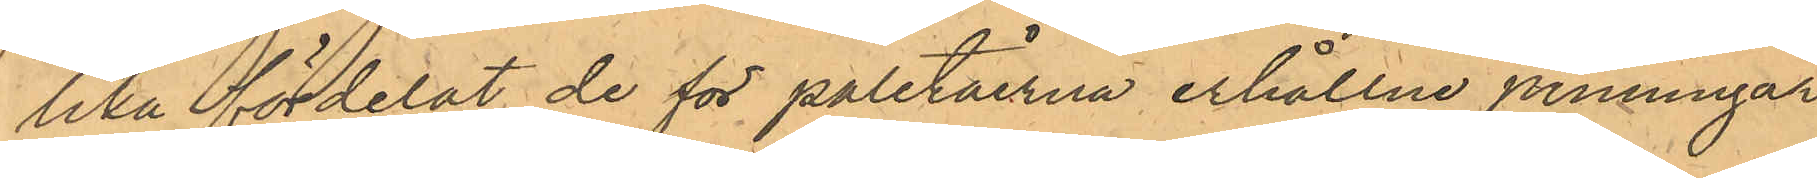lika fördelat de för paletåerna erhållne penningar,
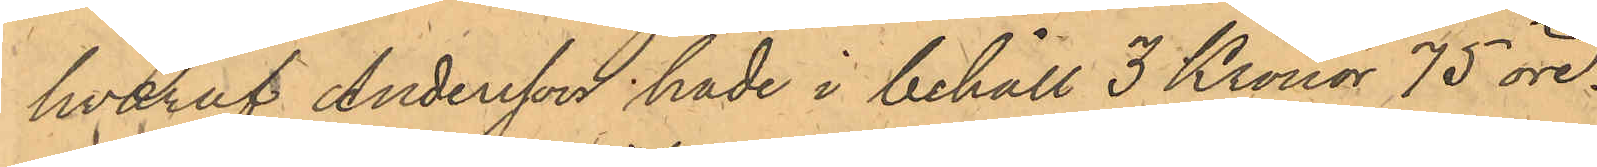hvaraf Andersson hade i behåll 3 Kronor 75 öre.
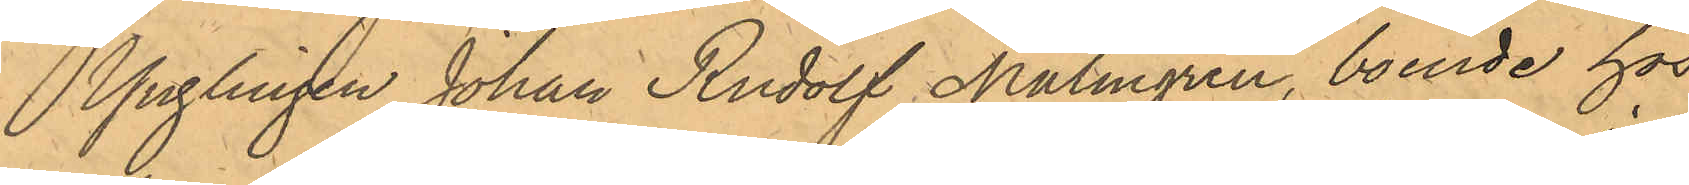Ynglingen Johan Rudolf Malmgren, boende hos
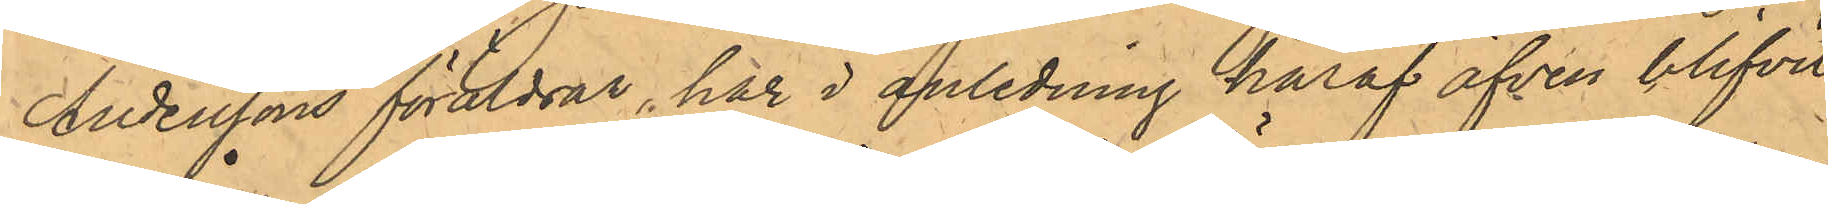Anderssons föräldrar, har i anledning häraf äfven blifvit
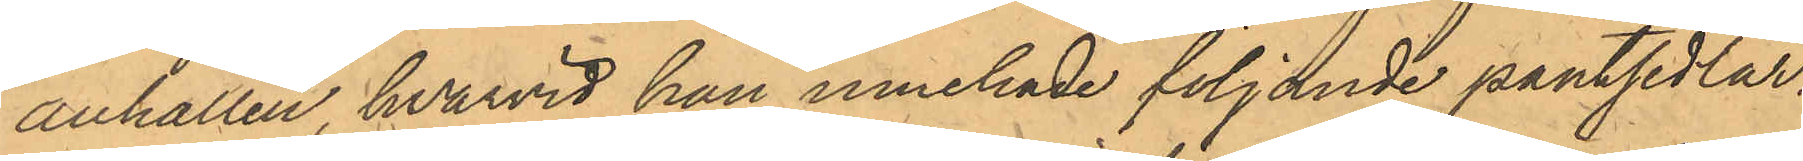anhållen, hvarvid han innehade följande pantsedlar:
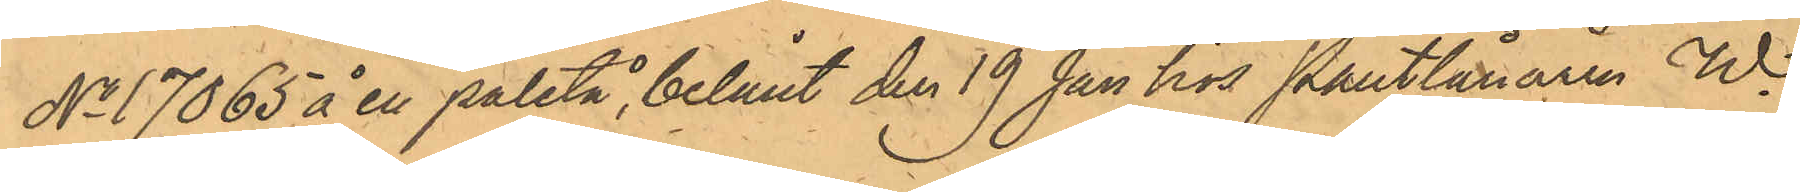No 7065 å en paletå, belånt den 19 Jan hos Pantlånaren W.
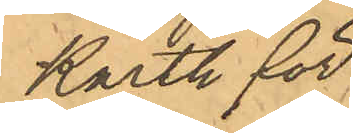Karth för
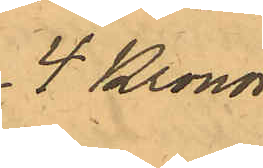4 Kronor
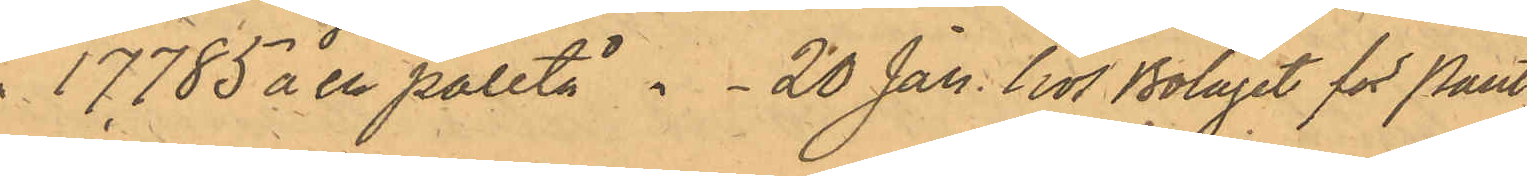" 17785 å en paletå " - 20 Jan. hos Bolaget för Pant¬
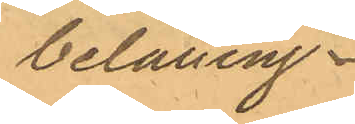belåning
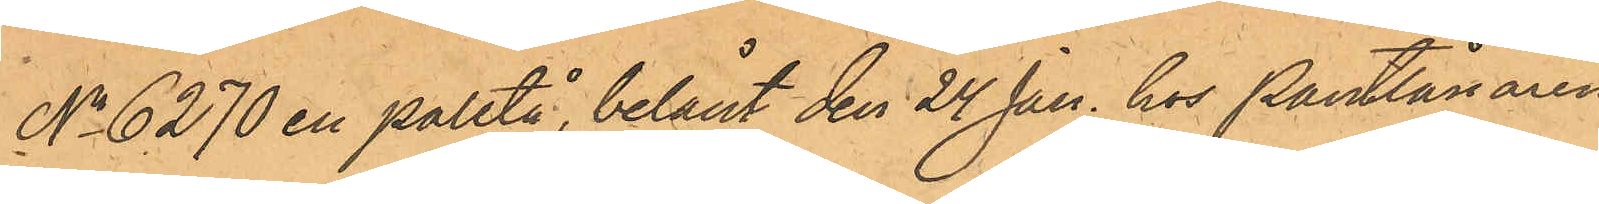No 6270 en paletå, belånt den 24 Jan. hos Pantlånaren
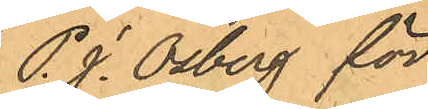P. J. Osberg för
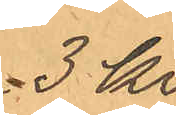3 Kr,
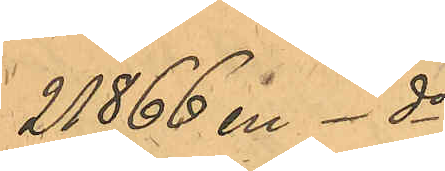21866 en do
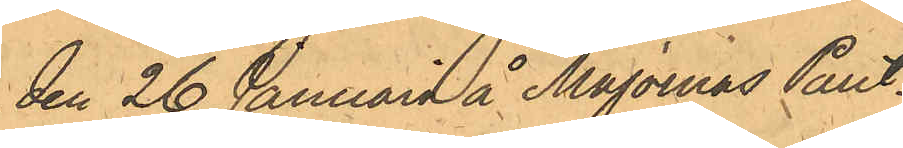den 26 Januari å Majornas Pant¬
